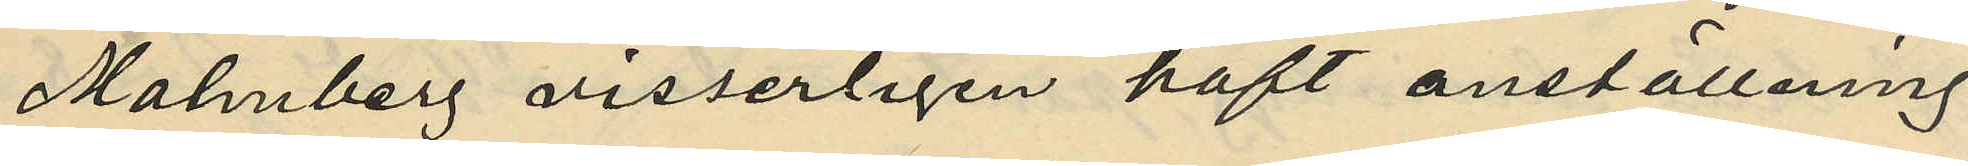Malmberg visserligen haft anställning
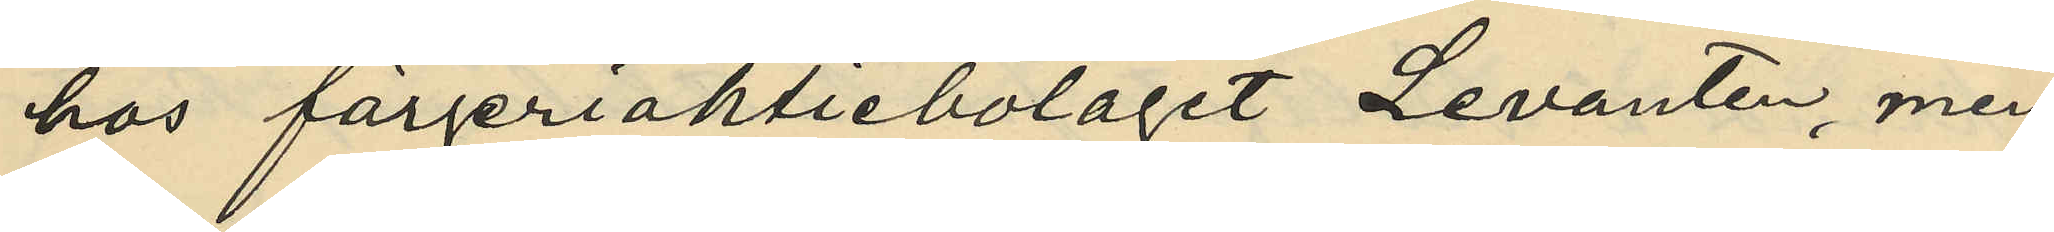hos färjeriaktiebolaget Levanten, men
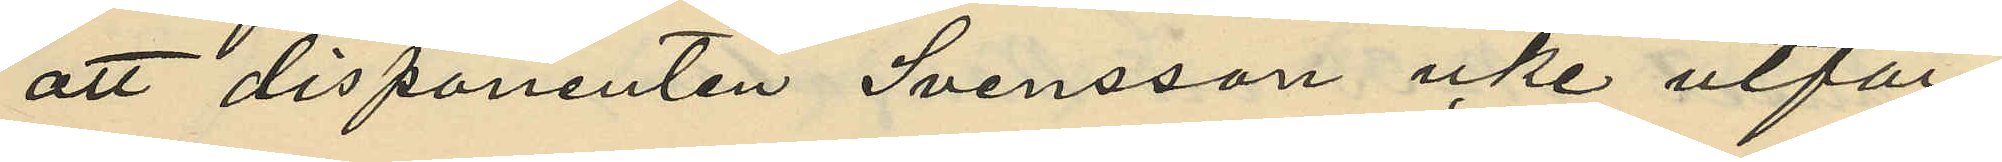att disponenten Svensson icke utfär¬
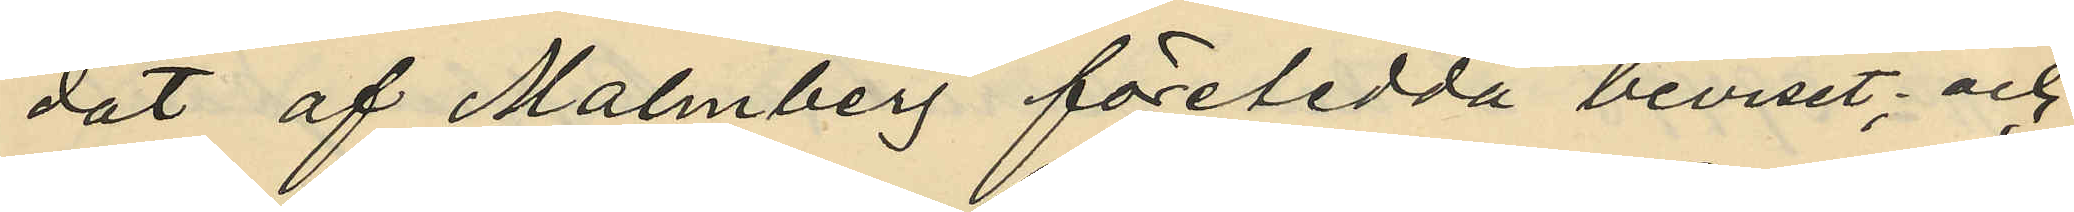dat af Malmberg företedda beviset; och
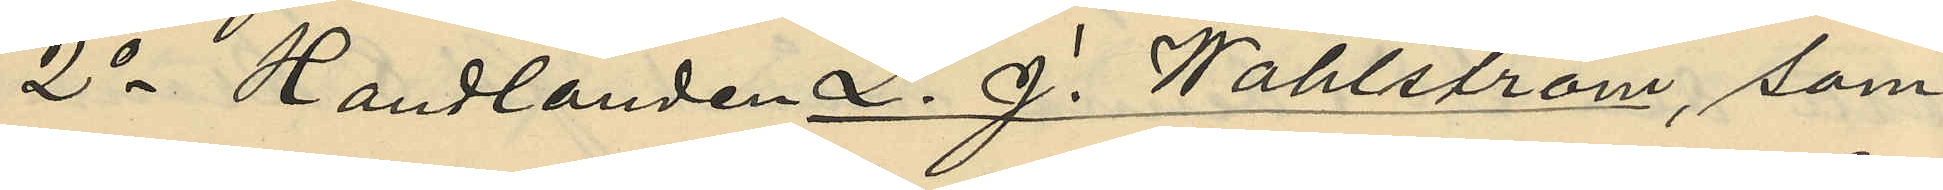2o Handlanden L. J. Wahlström, som
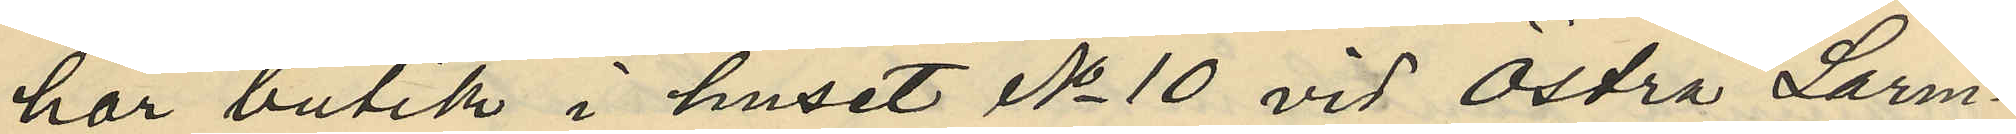har butik i huset No 10 vid Östra Larm¬
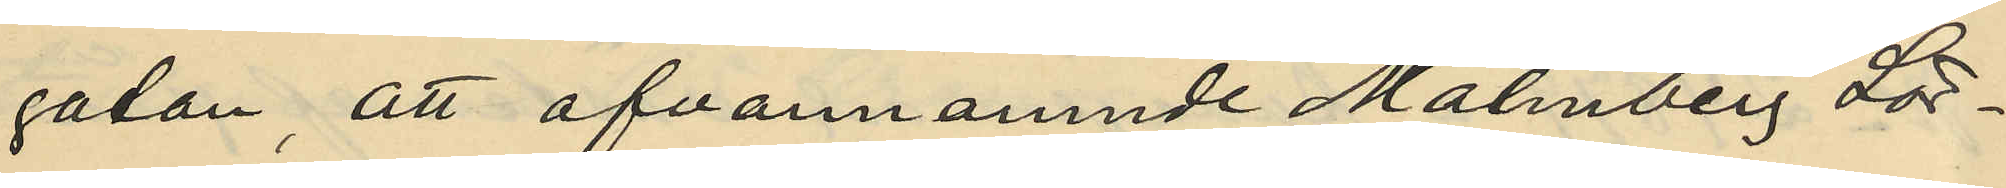gatan, att ofvannämnde Malmberg Lör¬
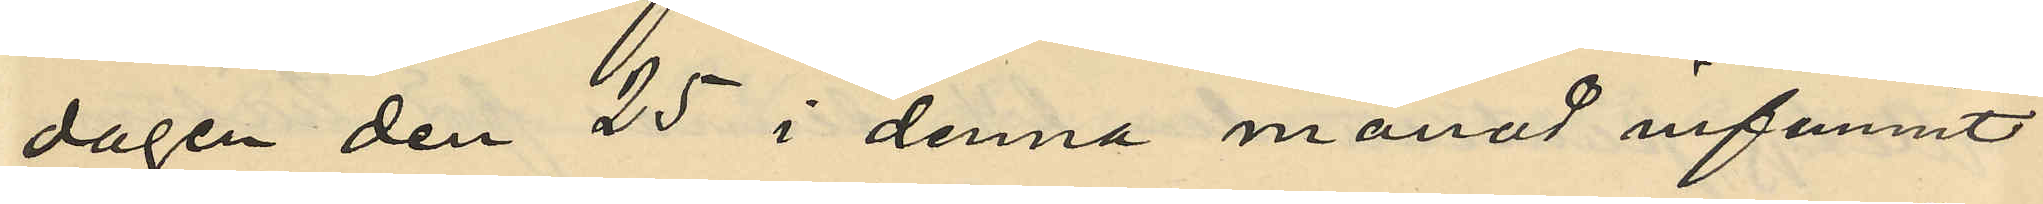dagen den 25 i denna månad infunnit
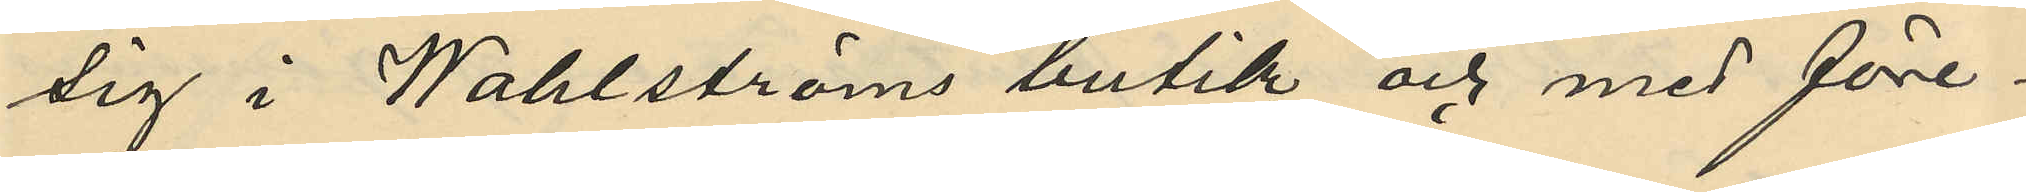sig i Wahlströms butik och med före¬
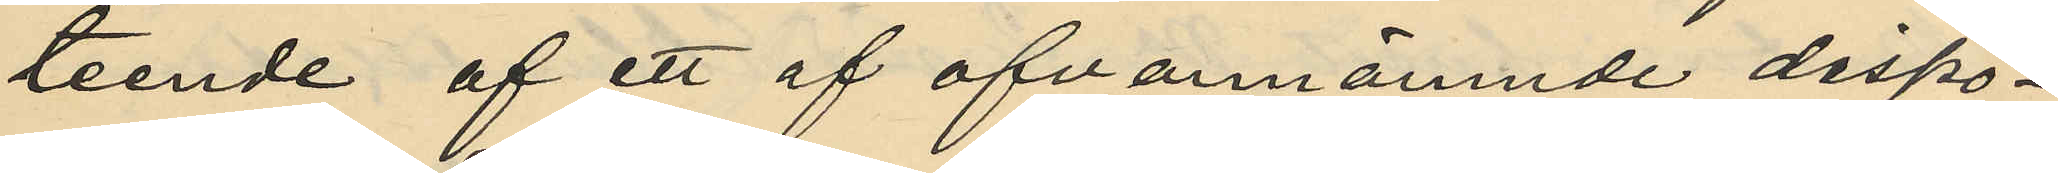teende af ett af ofvannämnde dispo¬
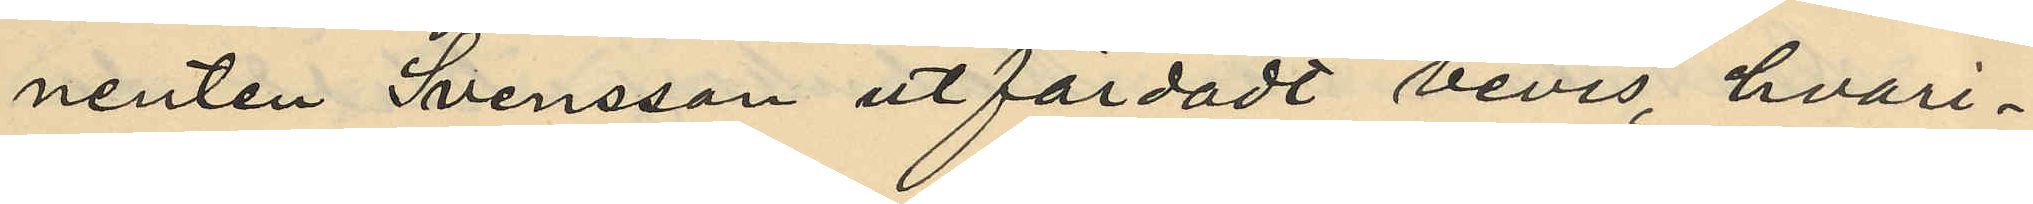nenten Svensson utfärdadt bevis, hvari¬
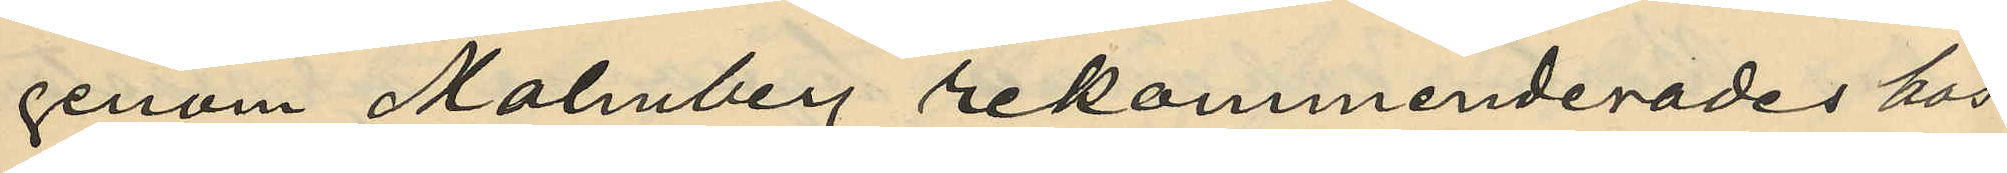genom Malmberg rekommenderades hos
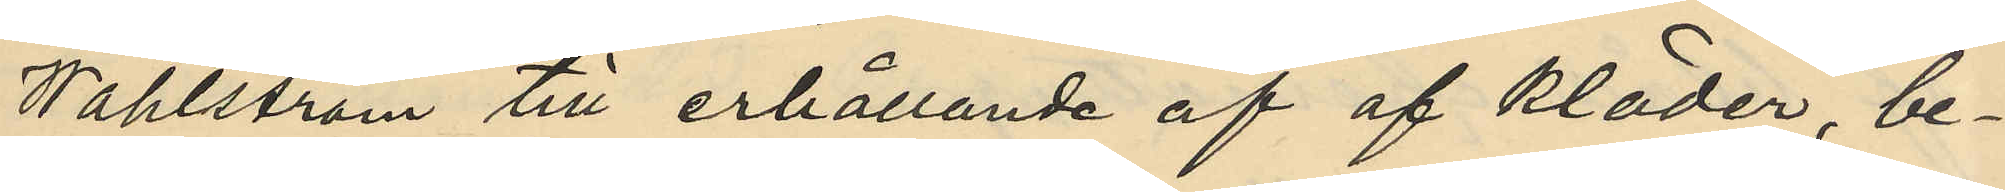Wahlström till erhållande af af kläder, be¬
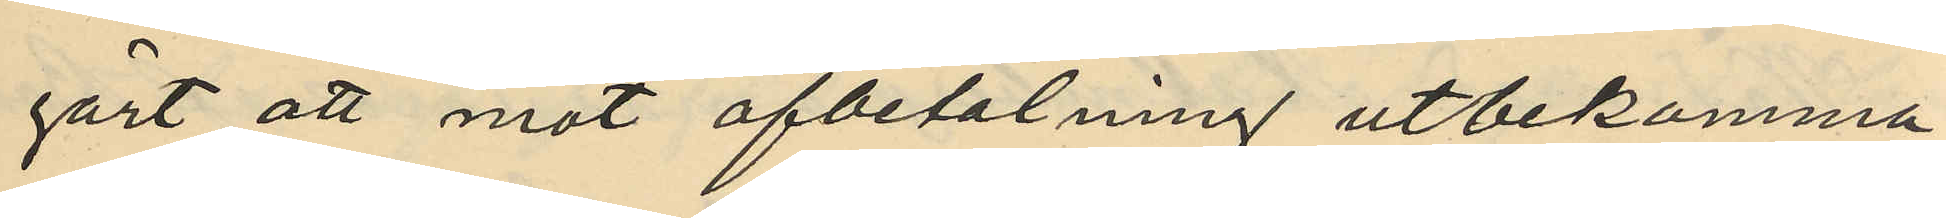gärt att mot afbetalning utbekomma
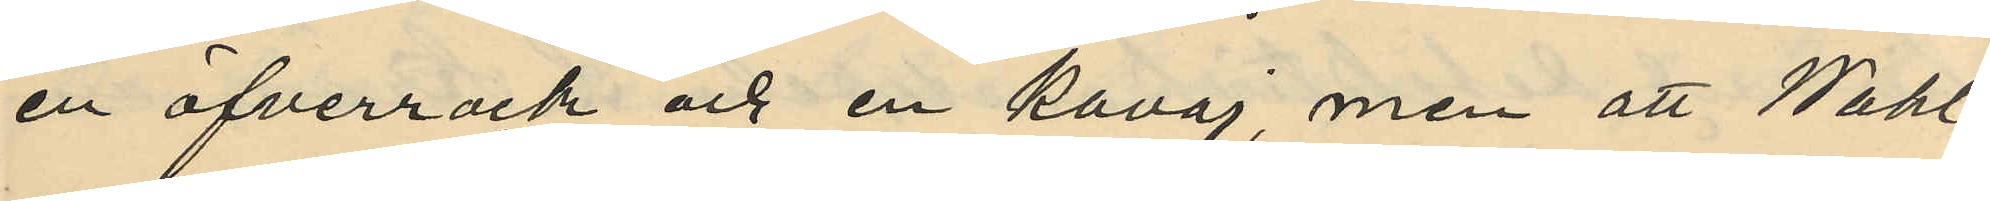en öfverrock och en kavaj, men att Wahl¬
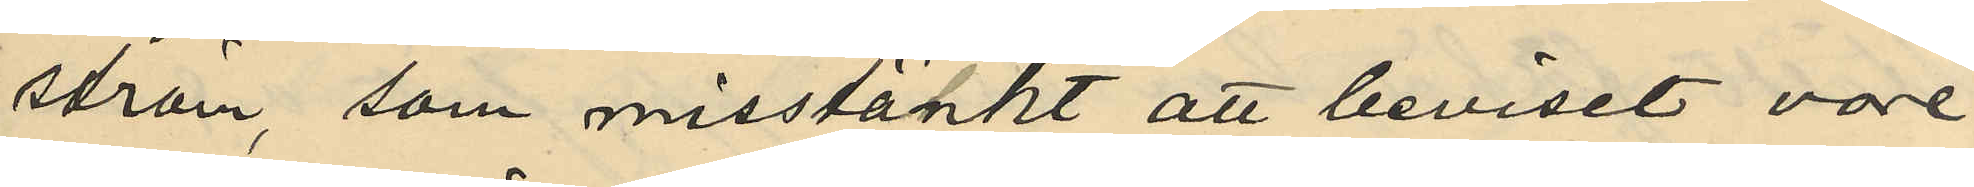ström, som misstänkt att beviset vore
